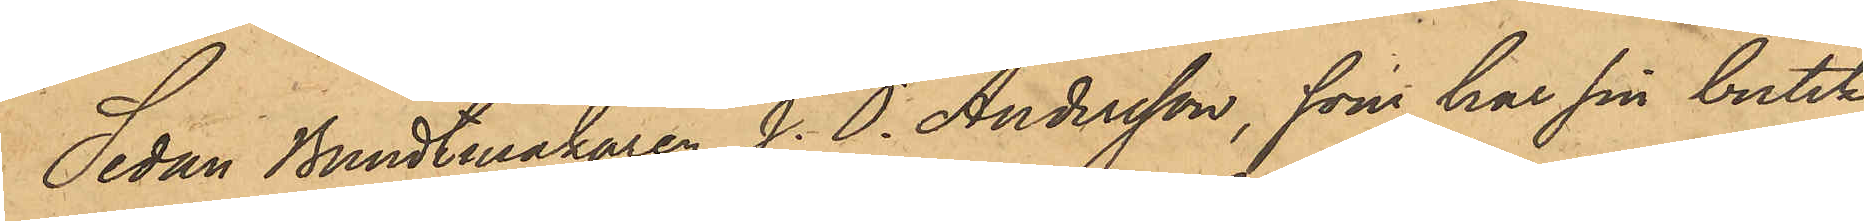Sedan Bundtmakaren J. O. Andersson, som har sin butik
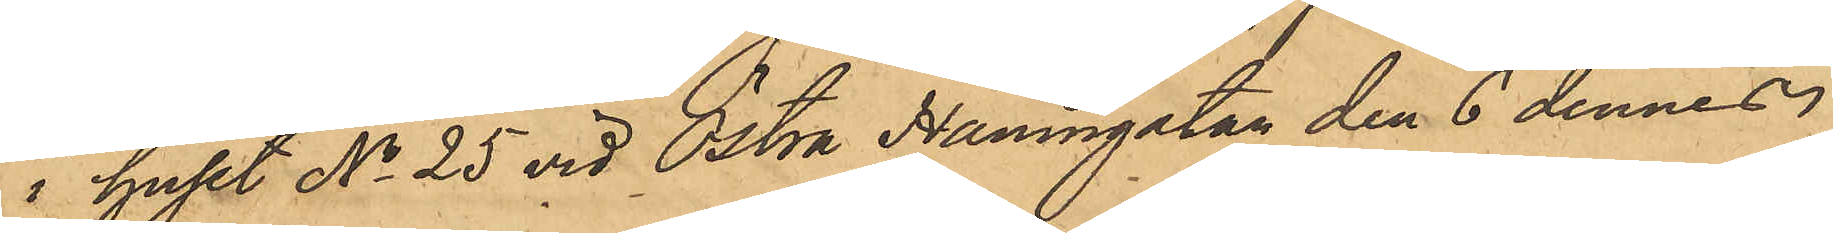i huset No 25 vid Östra Hamngatan den 6 dennes
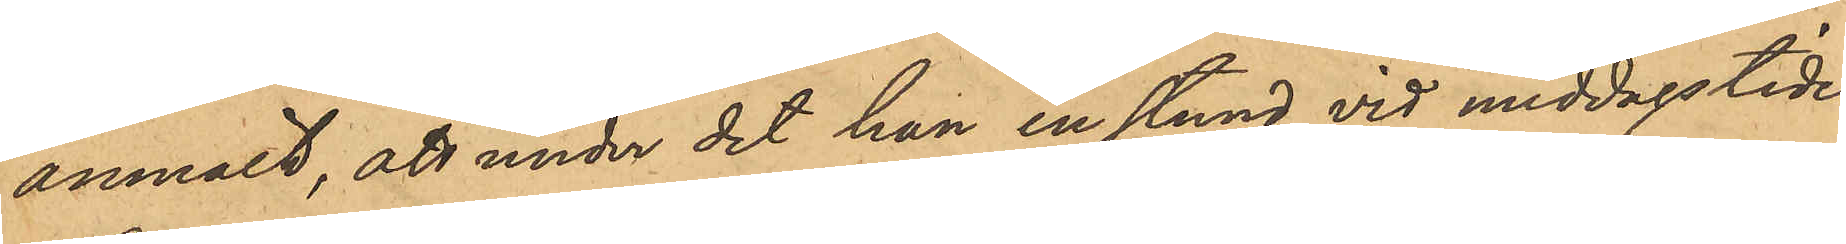anmält, att under det han en stund vid middagstiden
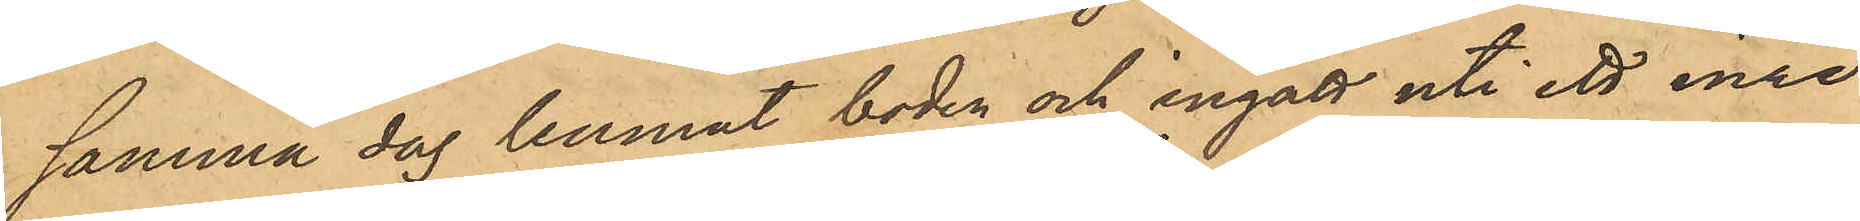samma dag lemnat boden och ingått uti ett inre
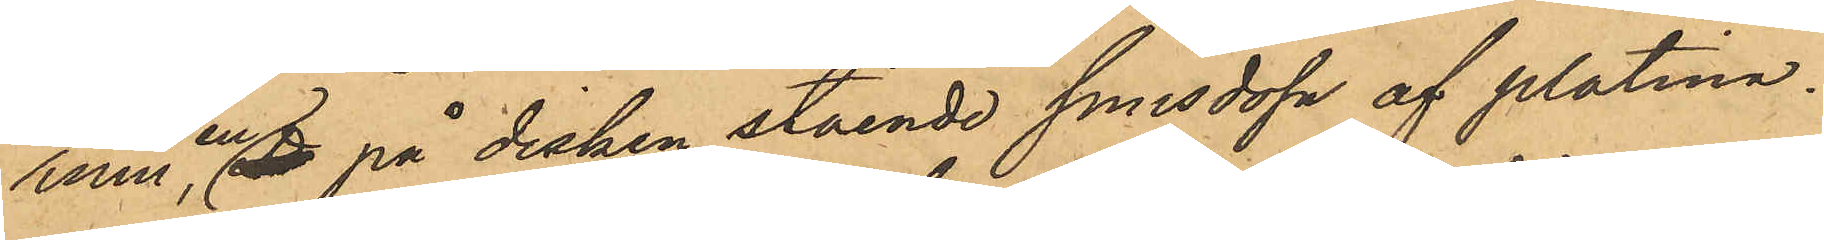rum, en på disken stående snusdosa af platina¬
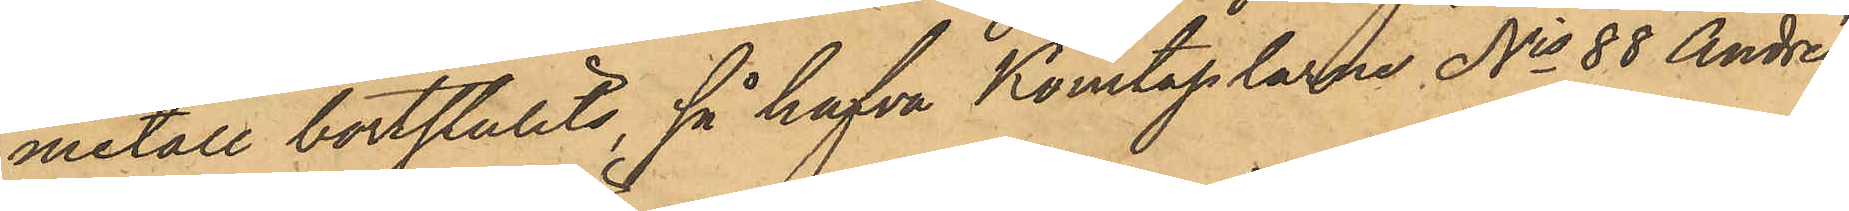metall bortstulits, så hafva Konstaplarne No 88 Andrén
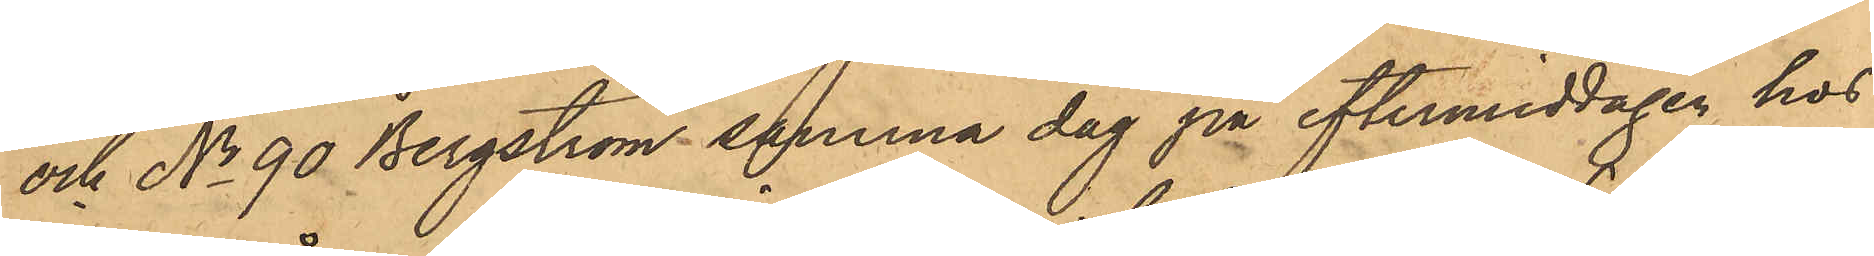och No 90 Bergström samma dag på eftermiddagen hos
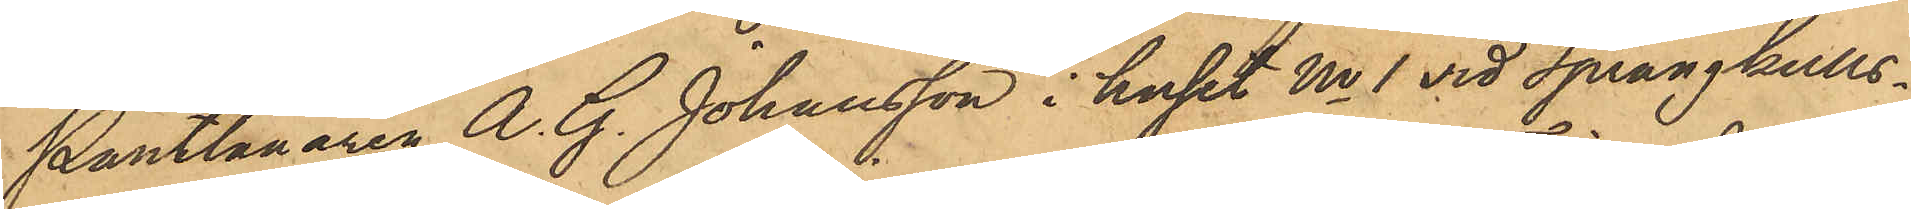Pantlånaren A. G. Johansson i huset No 1 vid Sprängkulls¬
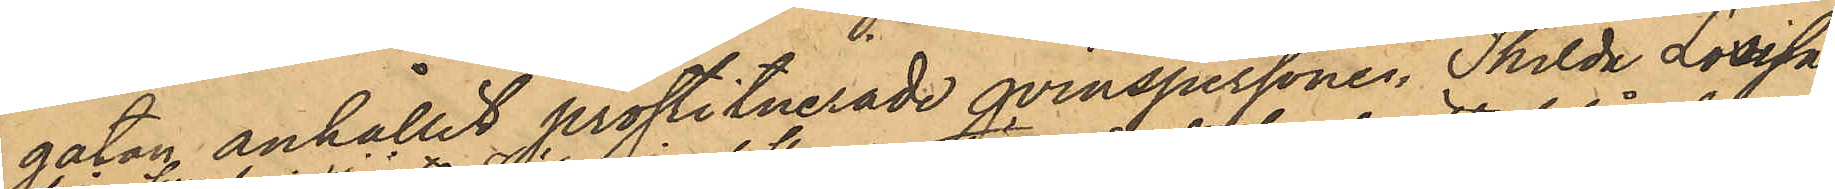gatan anhållit prostituerade qvinspersonen Thilda Lovisa
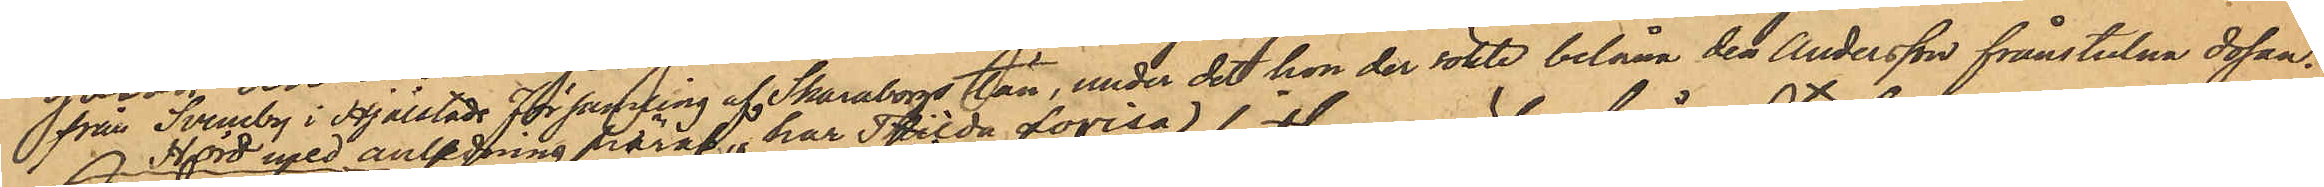från Sveneby i Hjälstads Församling af Skaraborgs län, under det hon der sökte belåna den Andersson frånstulna dosan.
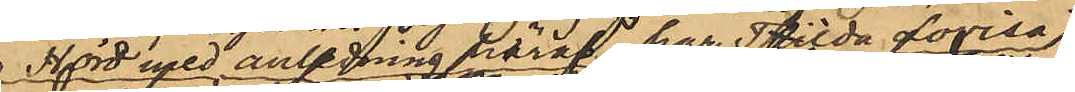Hörd med anledning häraf har Thilda Lovisa
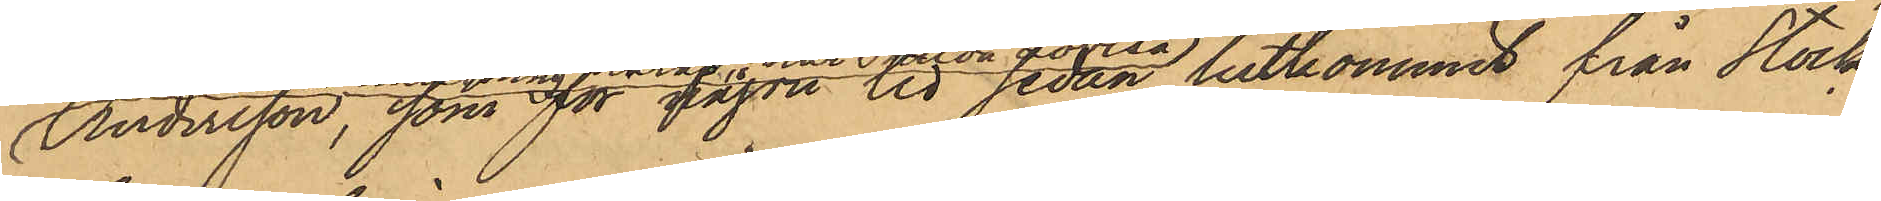Andersson, som för någon tid sedan hitkommit från Stock¬
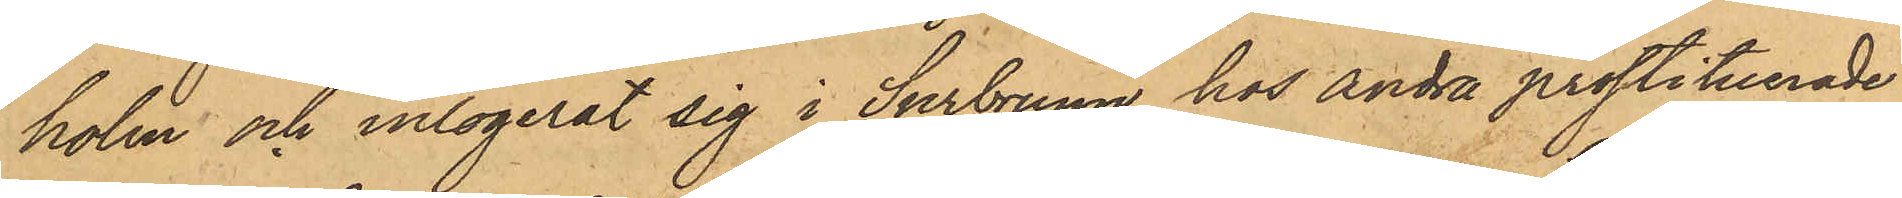holm och inlogerat sig i Surbrunn hos andra prostituerade
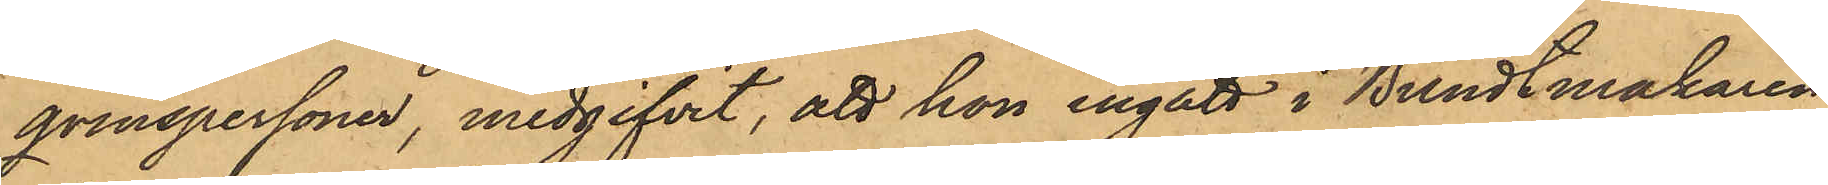qvinspersoner, medgifvit, att hon ingått i Bundtmakaren
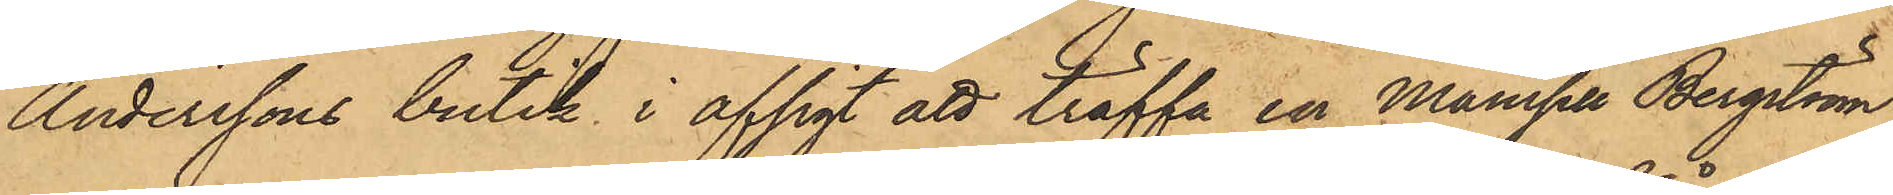Anderssons butik i afsigt att träffa en Mamsell Bergström,
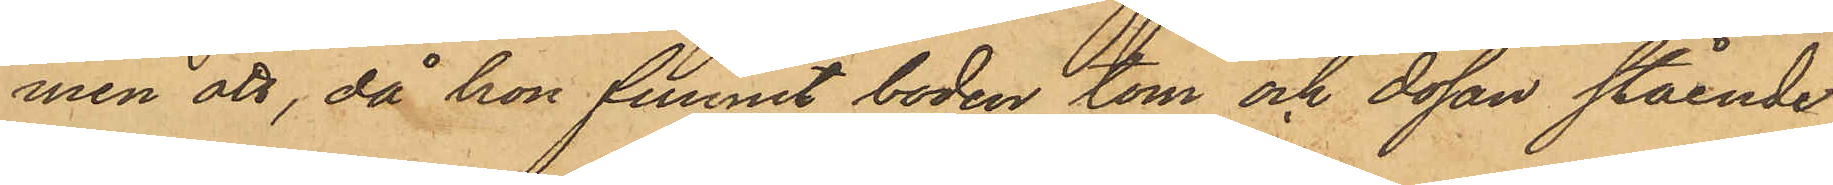men att, då hon funnit boden tom och dosan stående
